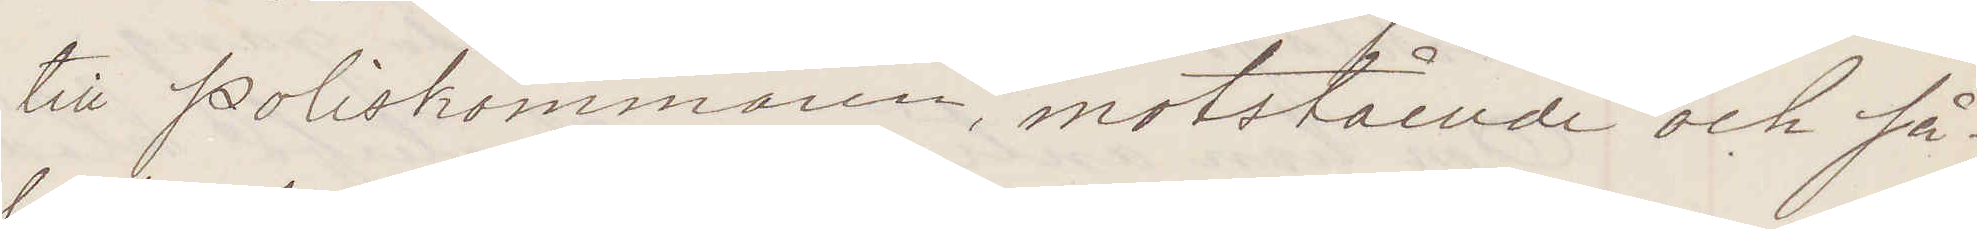till Poliskammaren, motstående och så
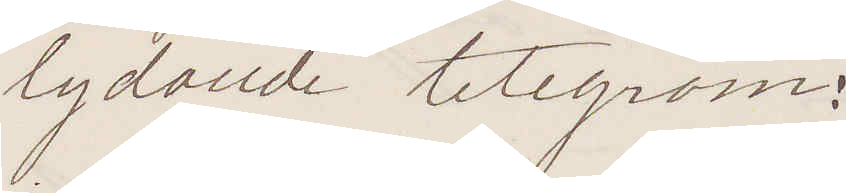lydande telegram:
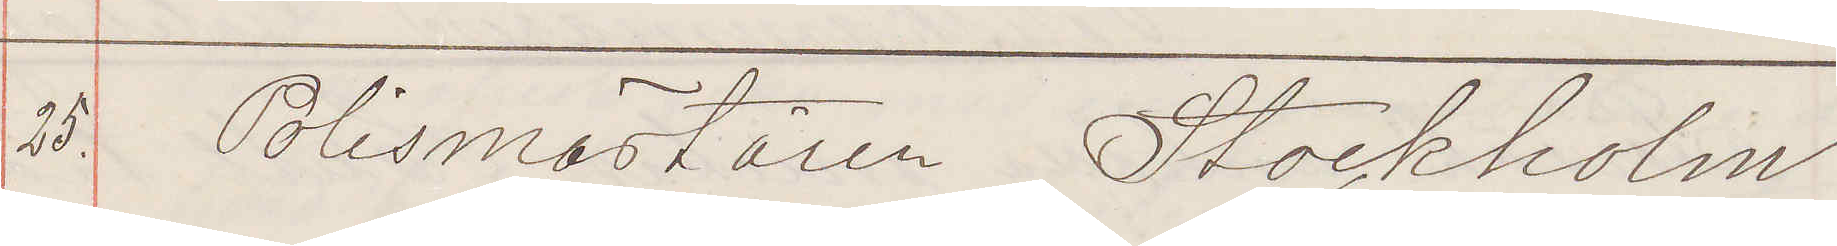25. Polismästaren Stockholm
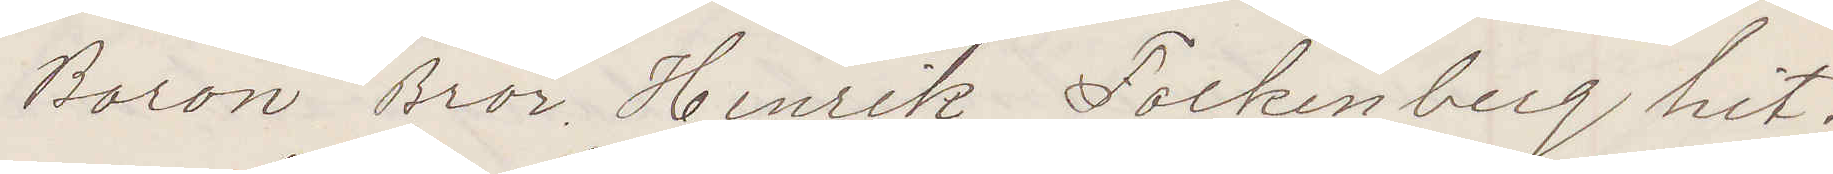Baron Bror Henrik Folkenberg hit¬
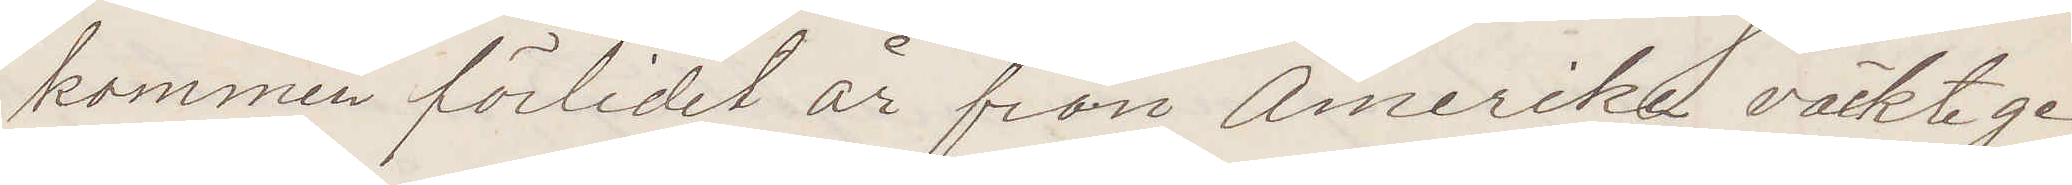kommen förlidet år från Amerika väckte ge¬
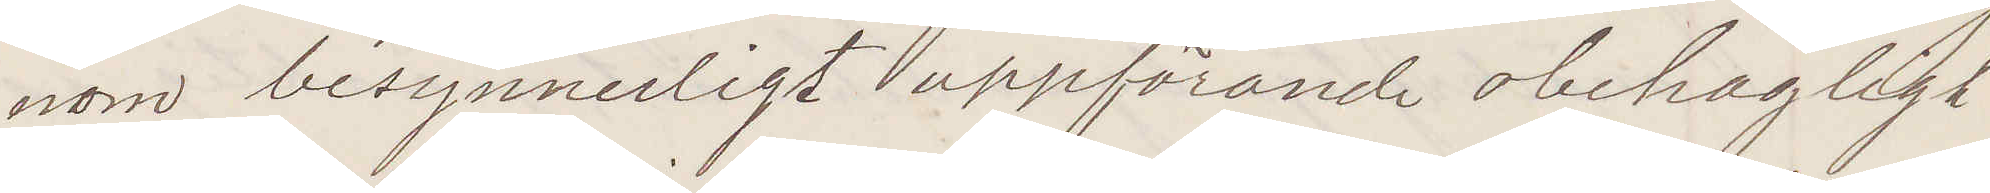nom besynnerligt uppförande obehagligt
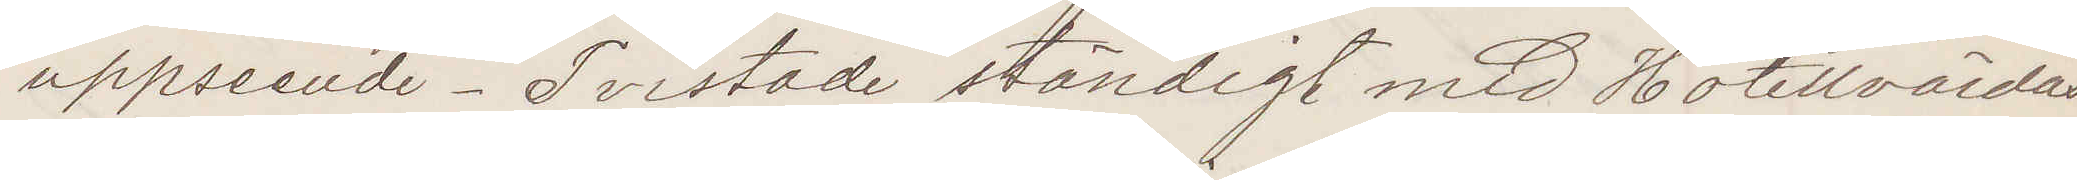uppseende. Tvistade ständigt med Hotellvärdar
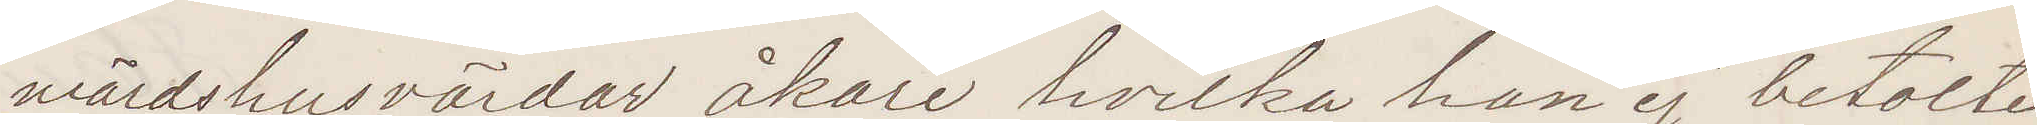wärdshusvärdar, åkare, hvilka han ej betalte
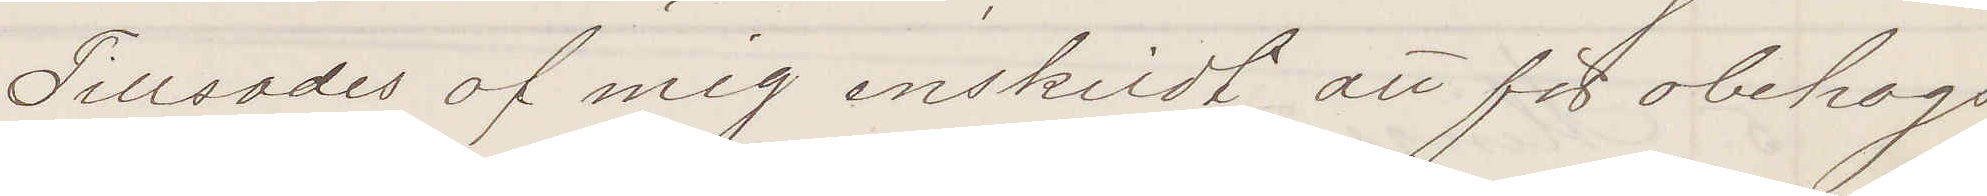Tillsades af mig enskildt att för obehags
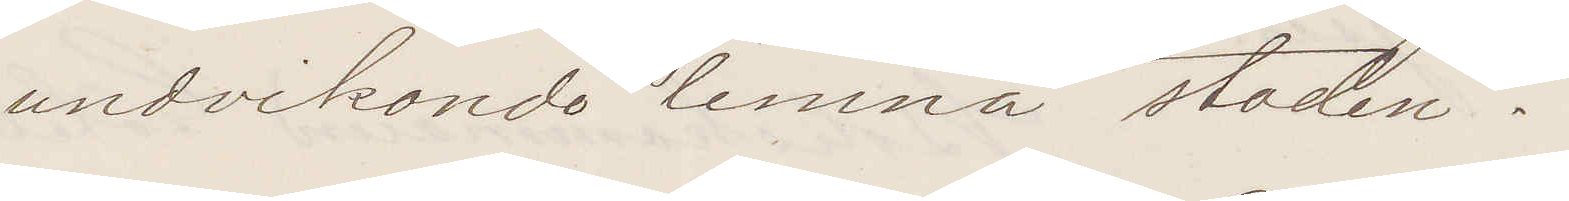undvikande lemna staden.
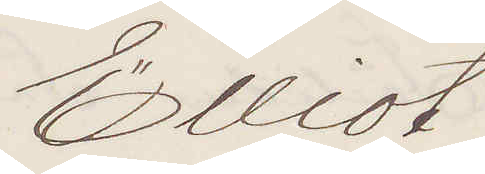Elliot
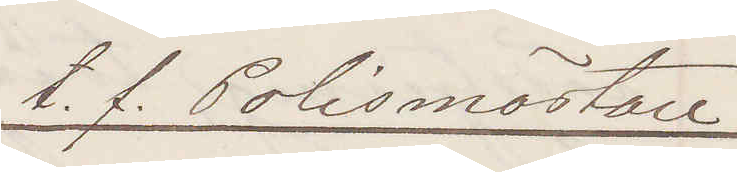t. f. Polismästare
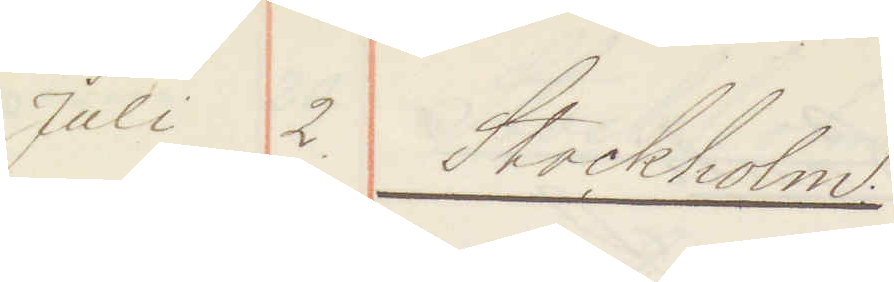Juli 2. Stockholm.
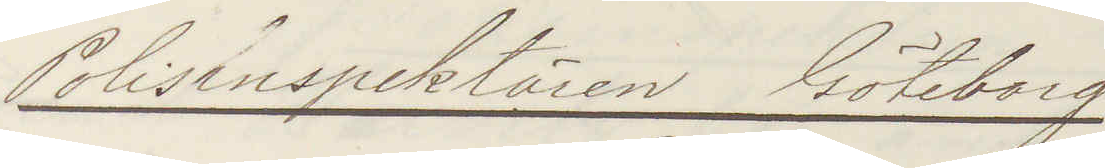Polisinspektören Göteborg
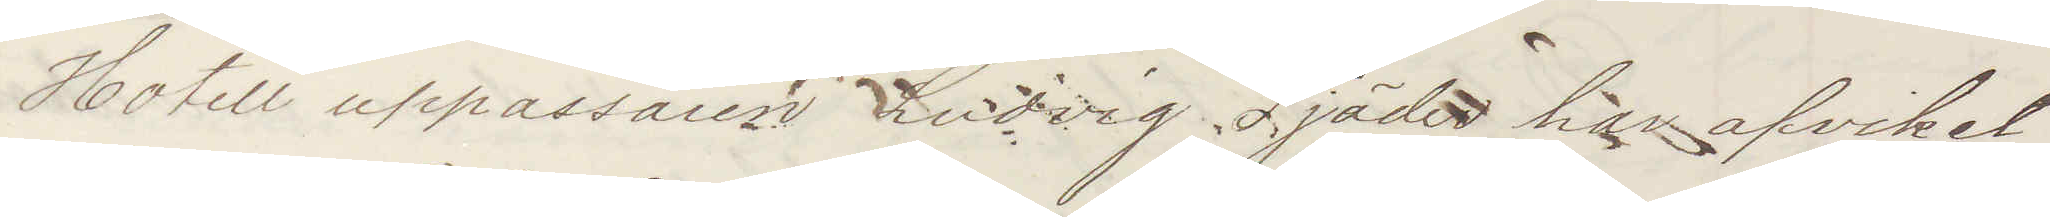Hotell uppassaren Ludvig Tjäder har afvikit
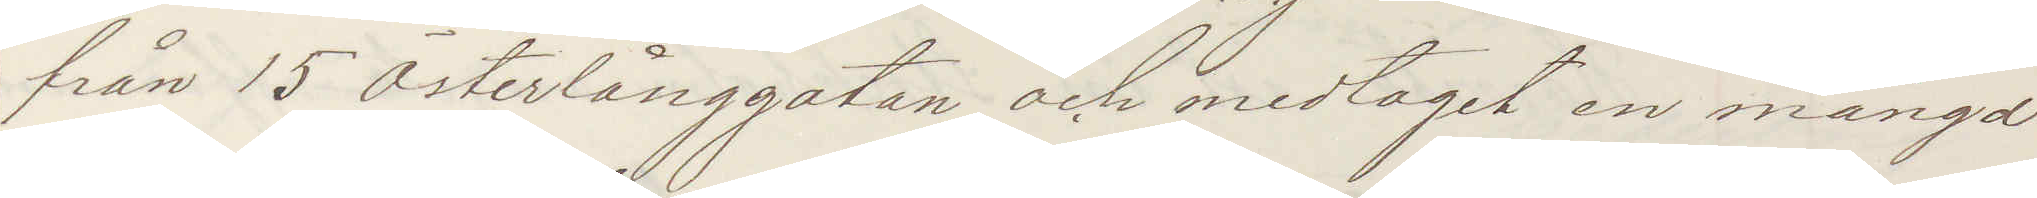från 15 Österlånggatan och medtagit en mängd
